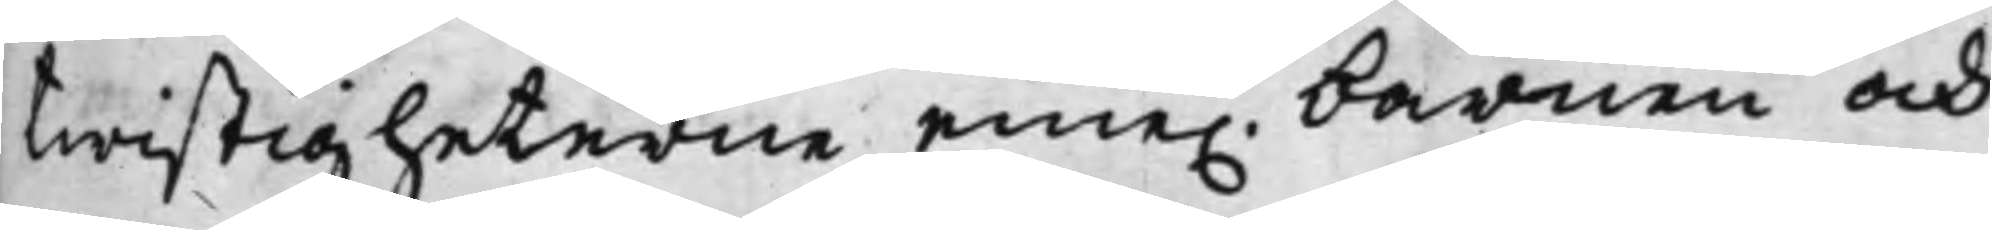twistigheterne eme. barnen och
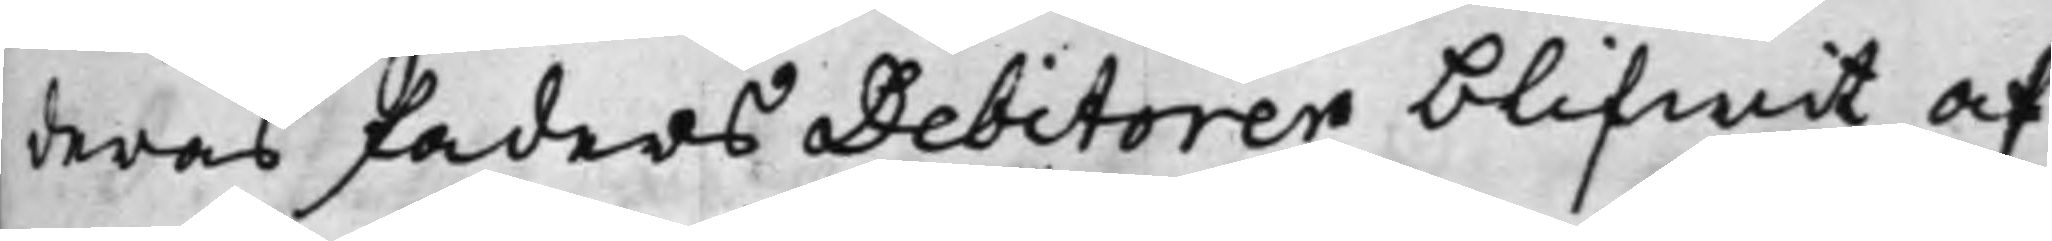deras faders Debitorer blifwit af¬
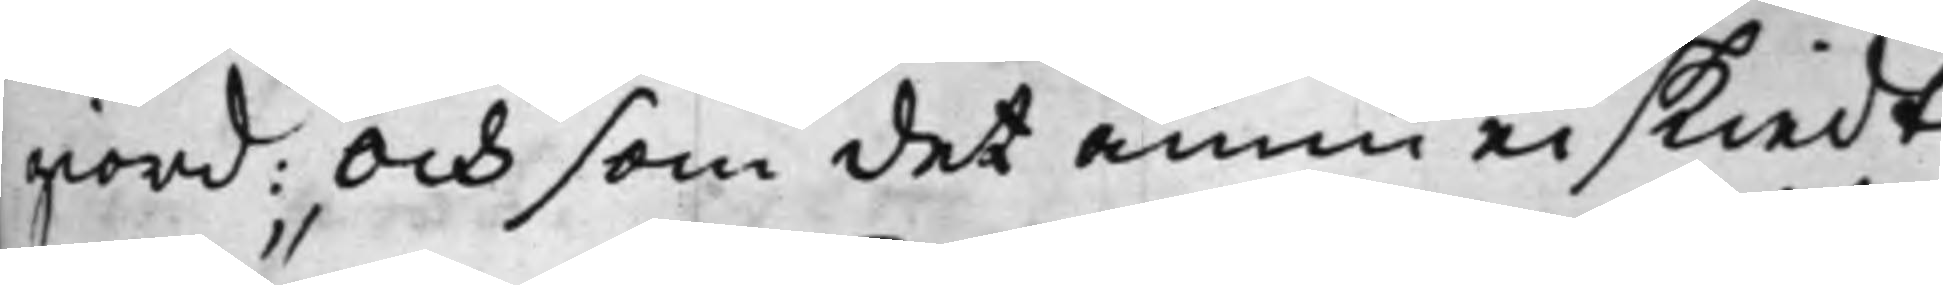giord: Och som det ännu ei skiedt
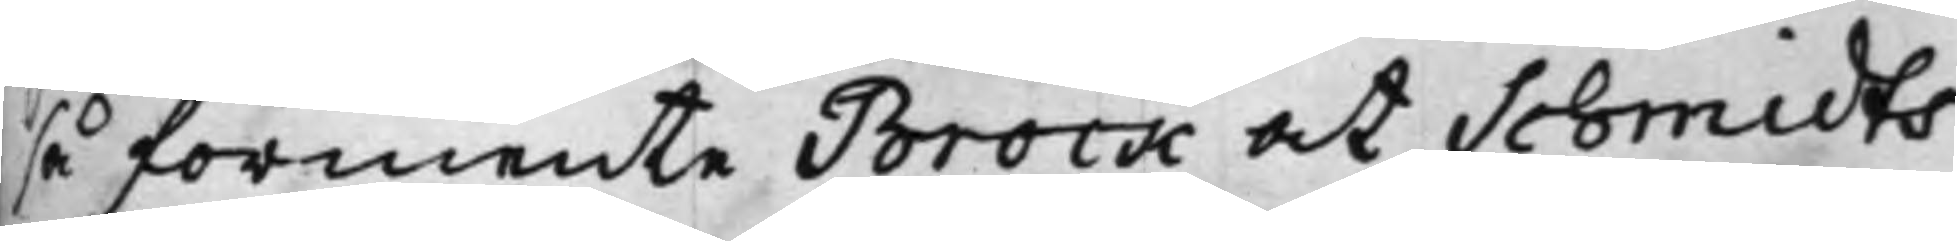så förmente Brock at Schmidts
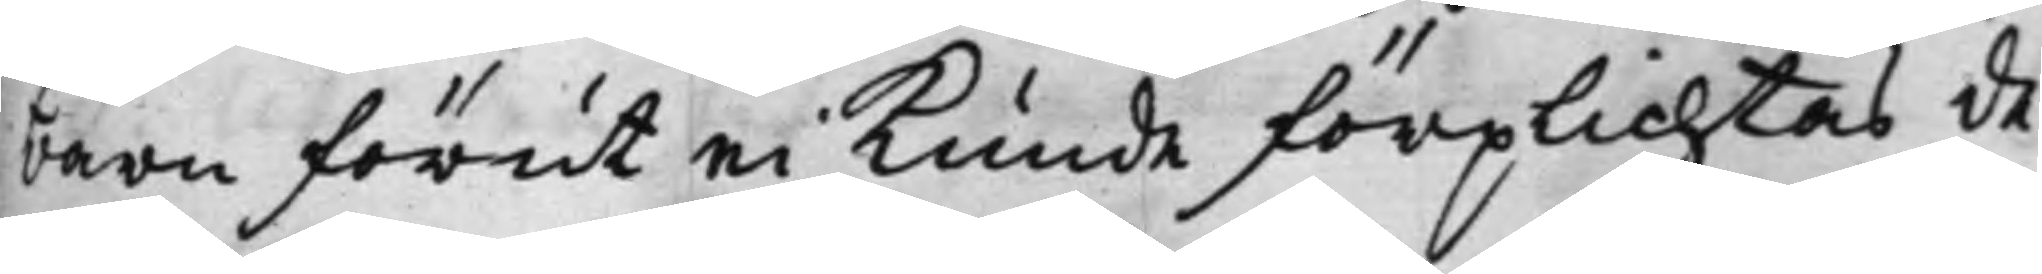barn förut ei kunde förplichtas de¬
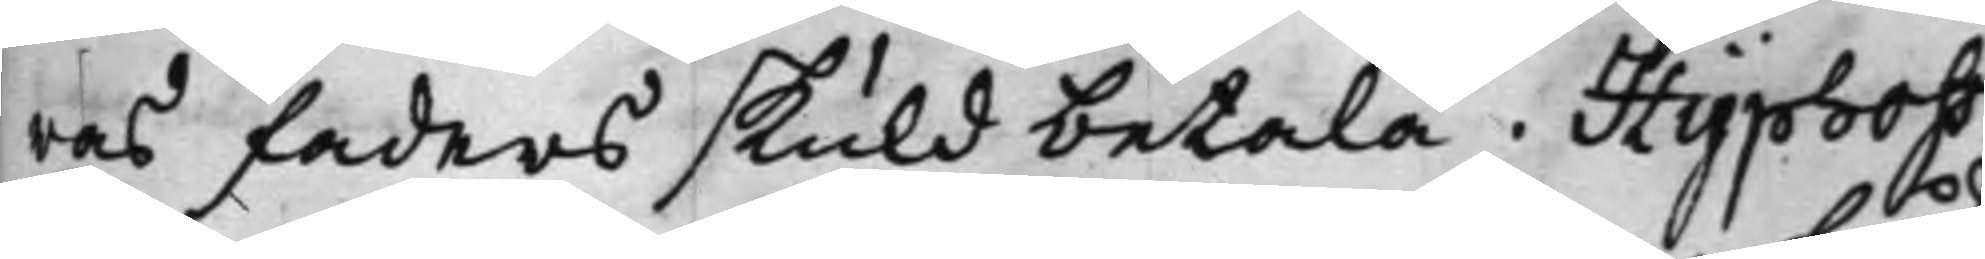ras faders skuld betala. Hyphoff
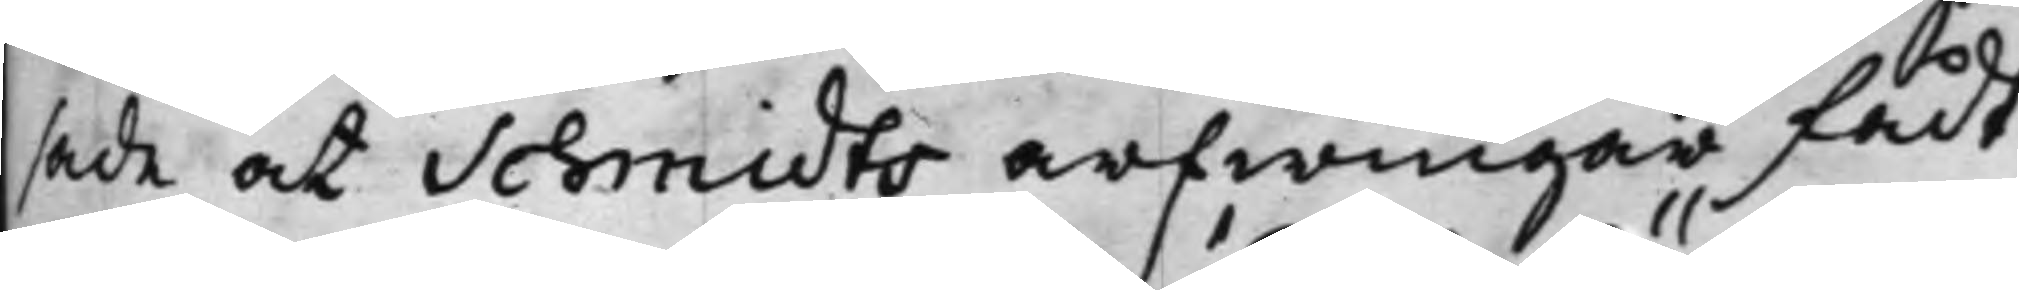sade at Schmidts arfwingar fådt
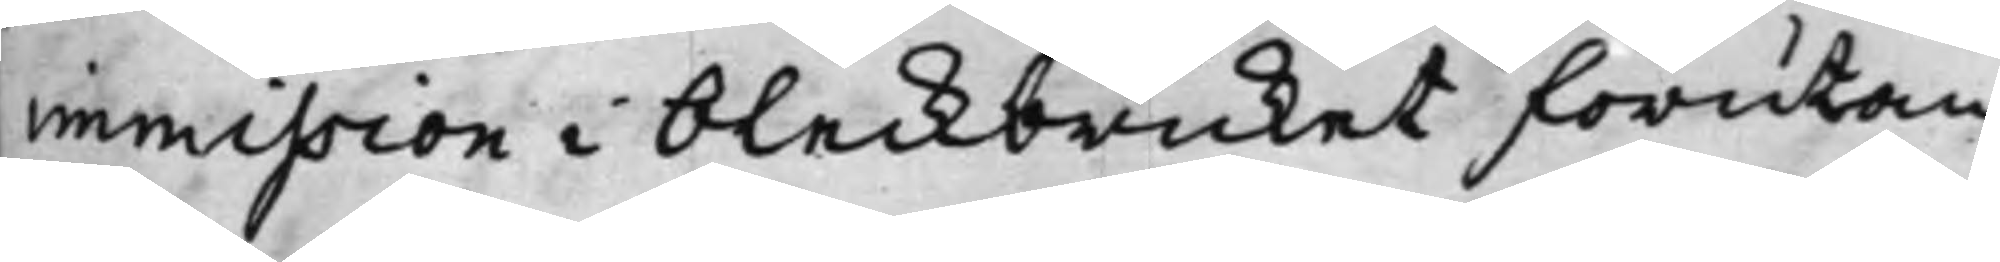immission i bleckbruket förutan
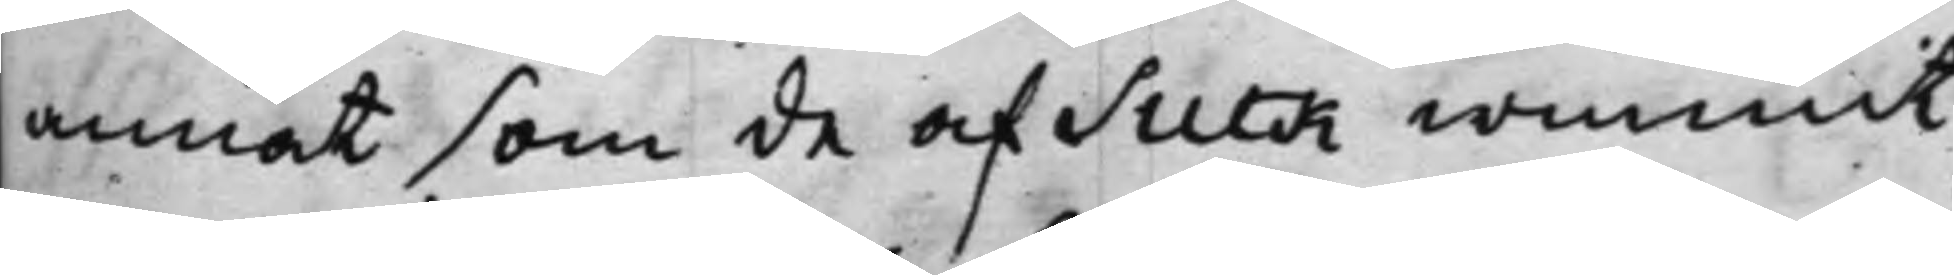annat som de af Suck wunnit
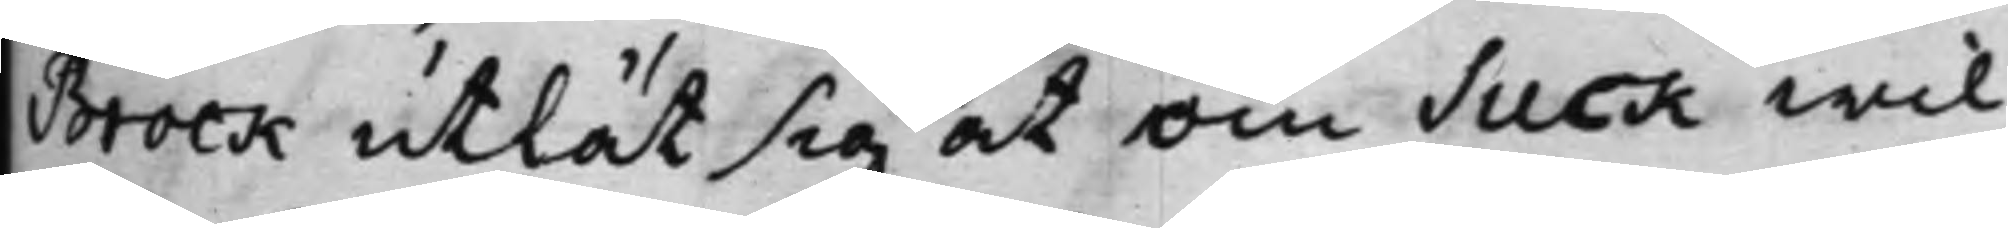Brock utlät sig at om Suck wil¬
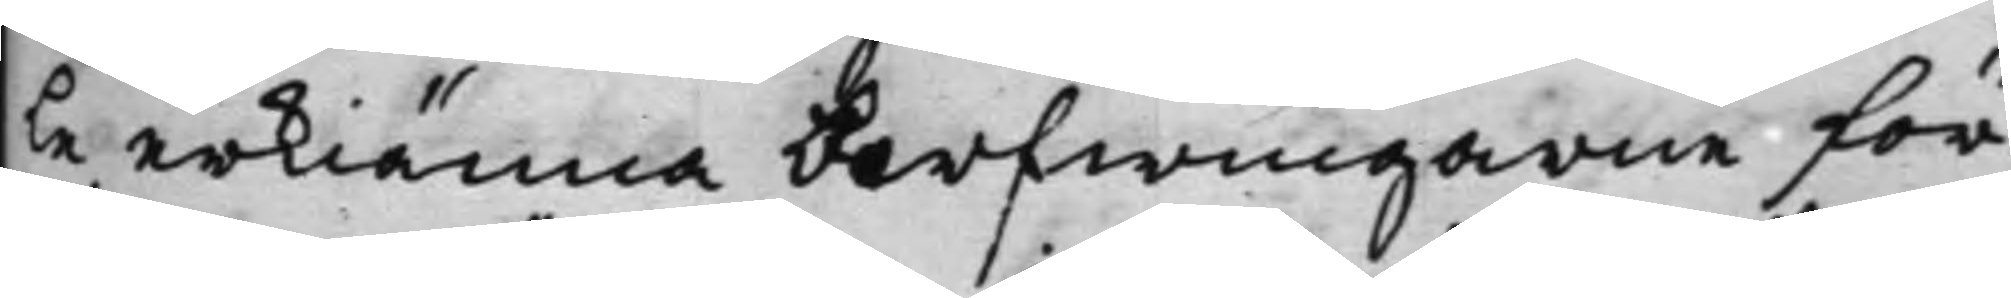le erkiänna Arfwingarna för
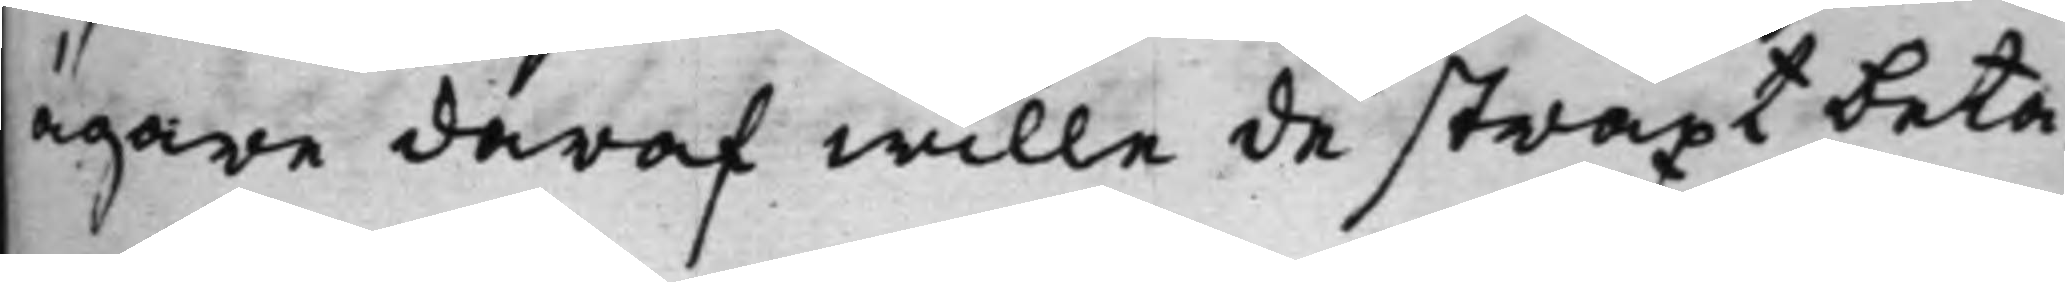ägare däraf wille de straxt beta¬
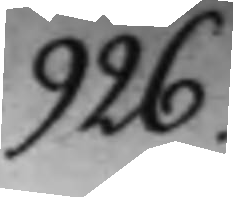926.
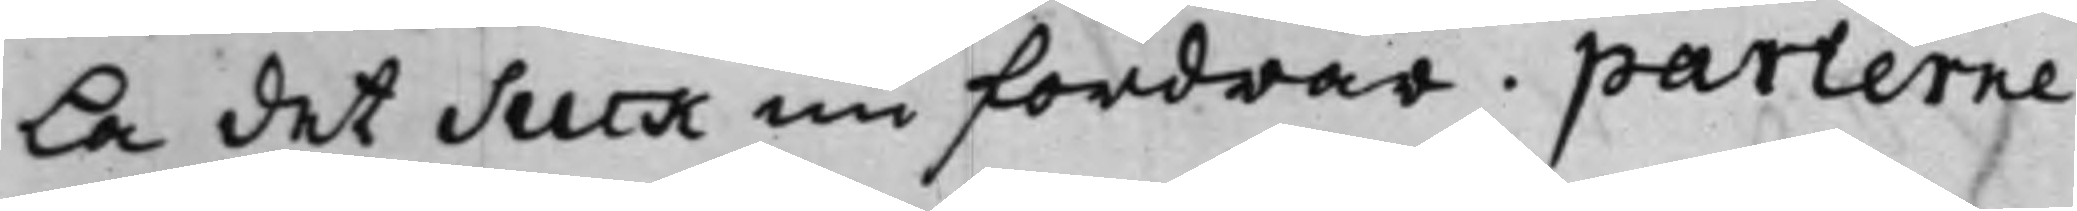La det Suck nu fordrar. parterne
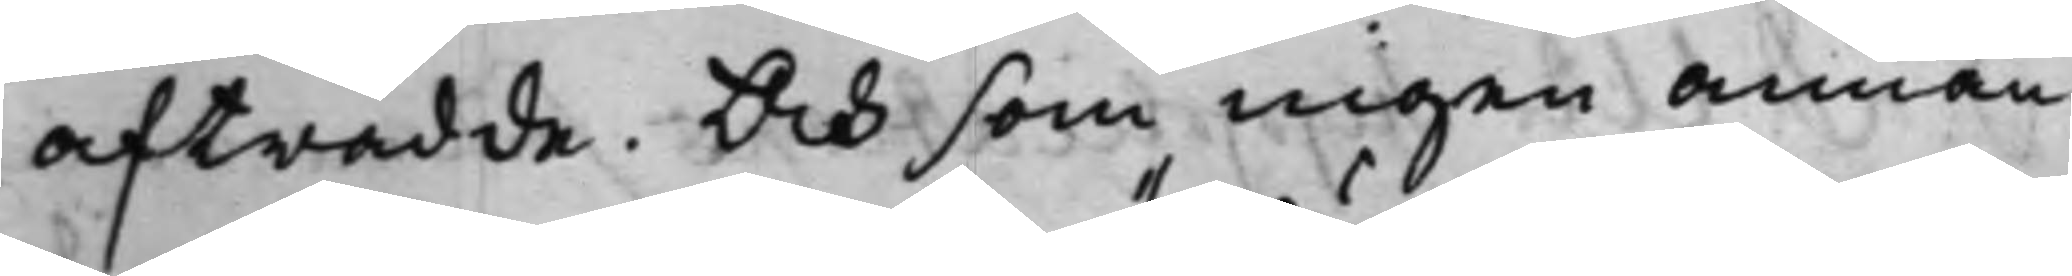afträdde. Och som ingen annan
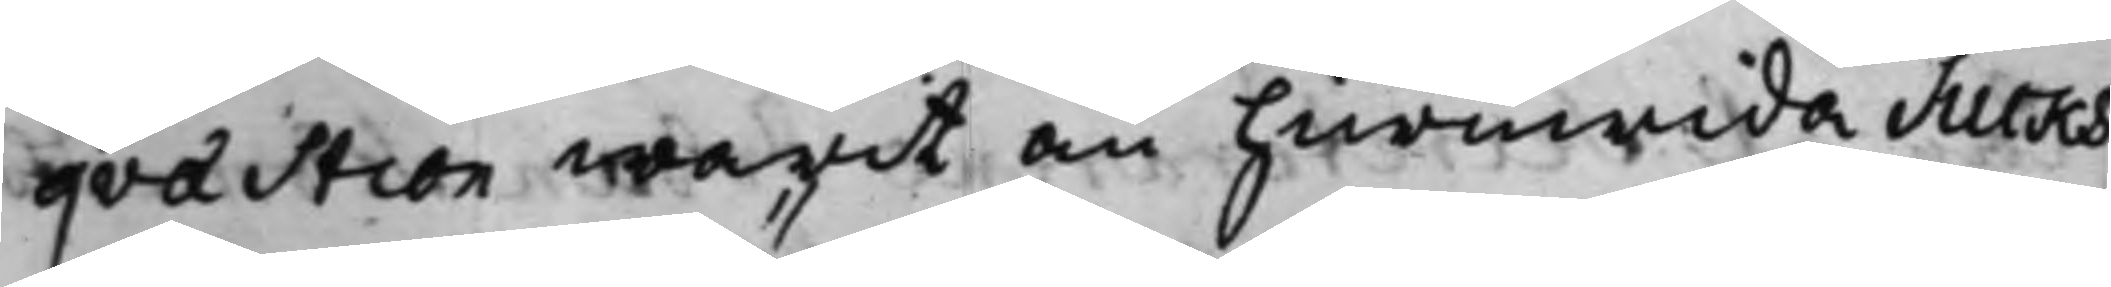qvaestion warit än huruwida Sucks
